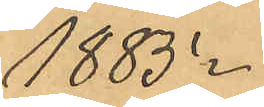1885.
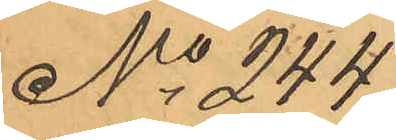No 244
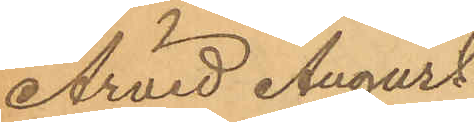Arvid August
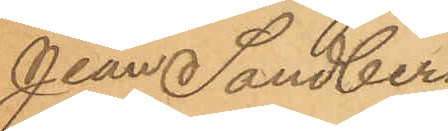Jean Sandberg
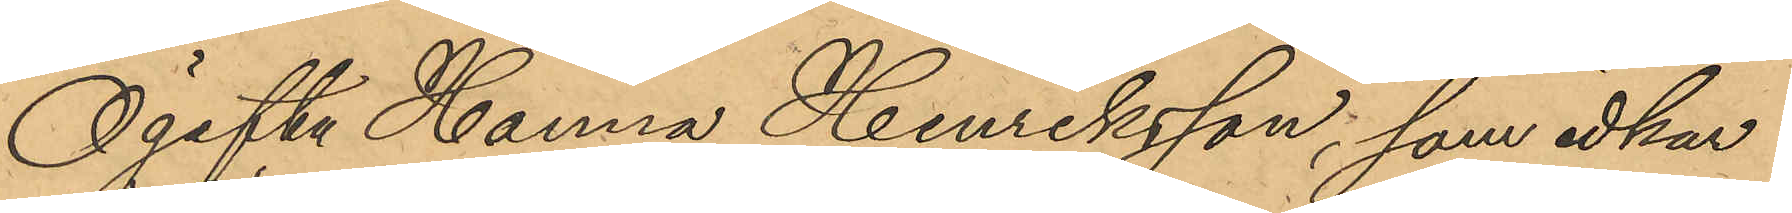Ogifta Hanna Henriksson, som idkar
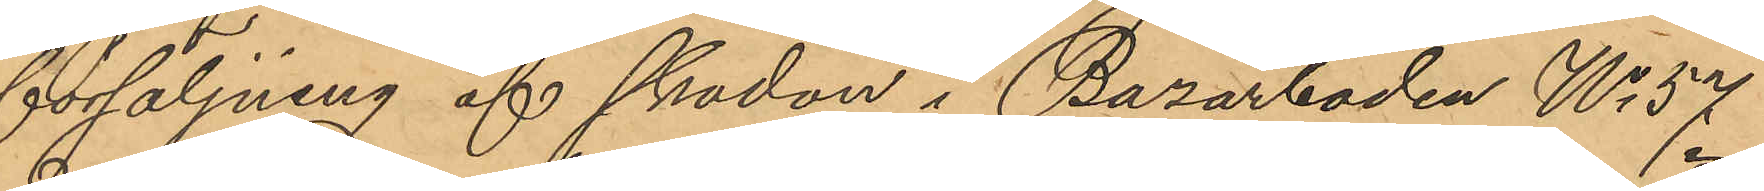försäljning af skodon i Bazarboden No 57
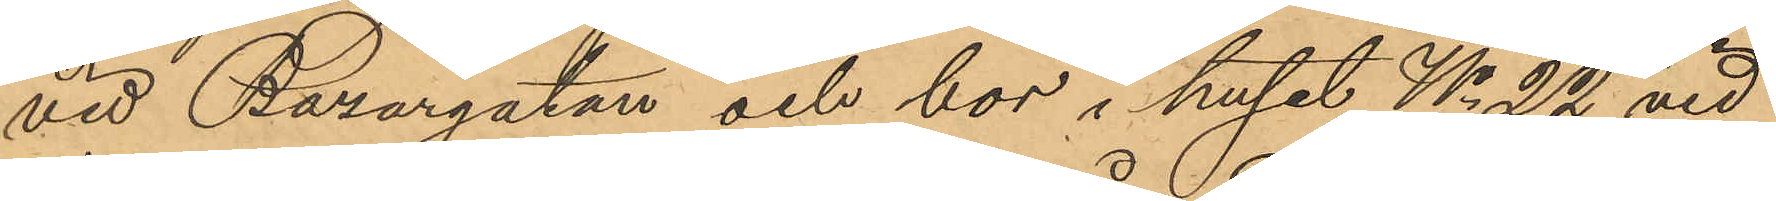vid Bazargatan och bor i huset No 22 vid
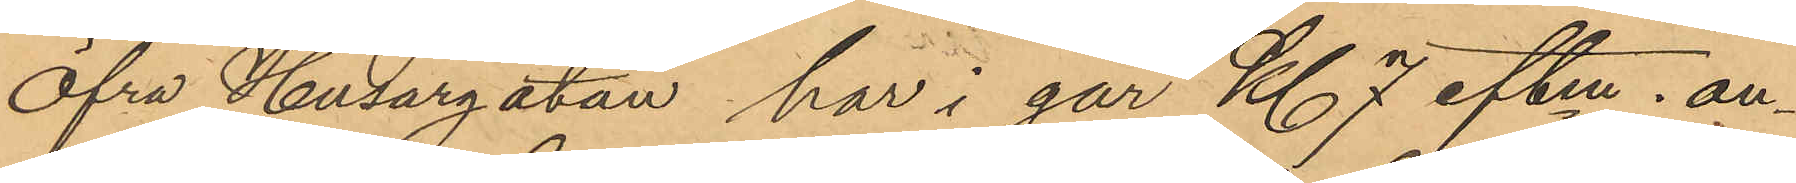Öfra Husargatan har i går Kl. 7 eftm. an¬
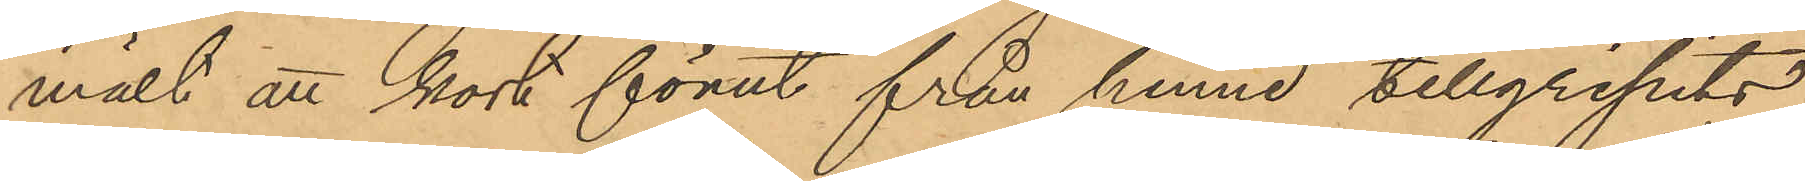mält att kort förut från henne tillgripits
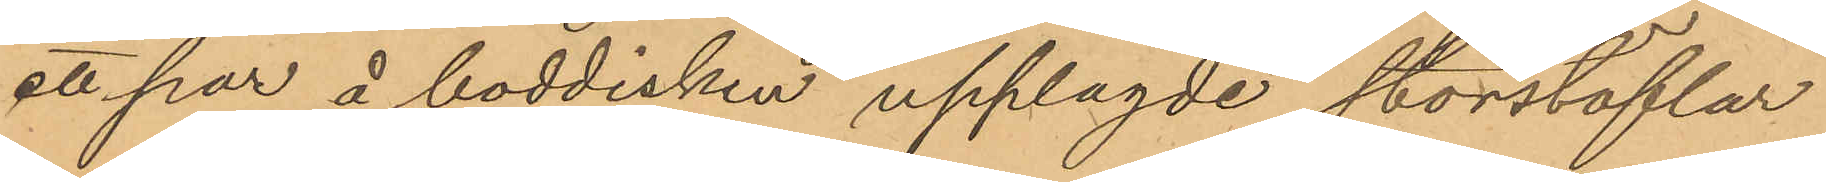ett par å boddisken upplagde storstöflar
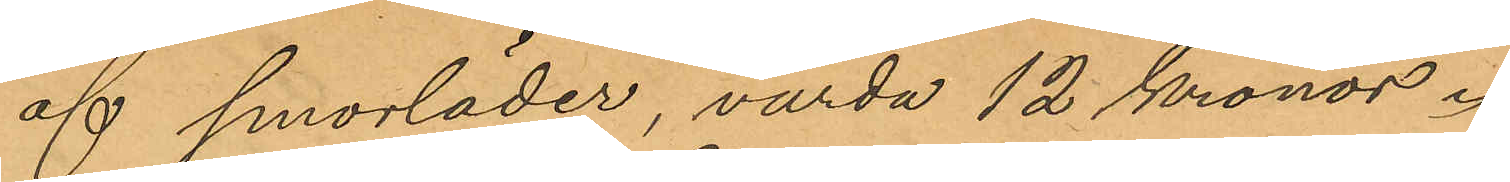af smorläder, värda 12 kronor.
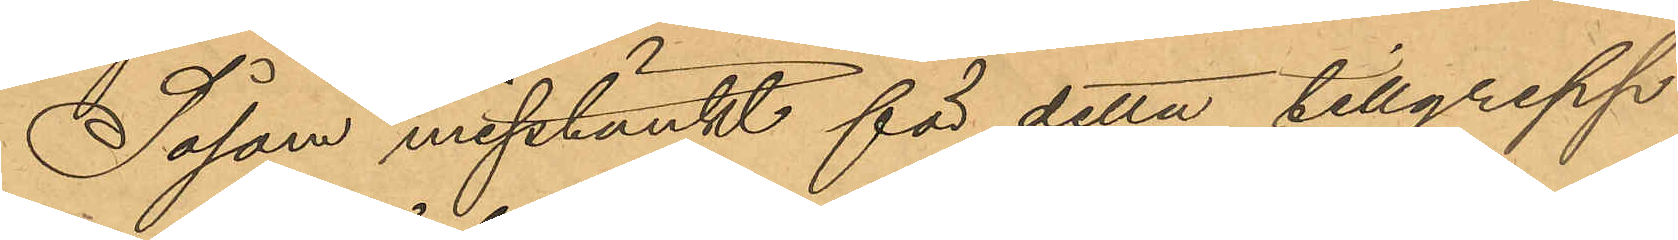Såsom misstänkt för detta tillgrepp
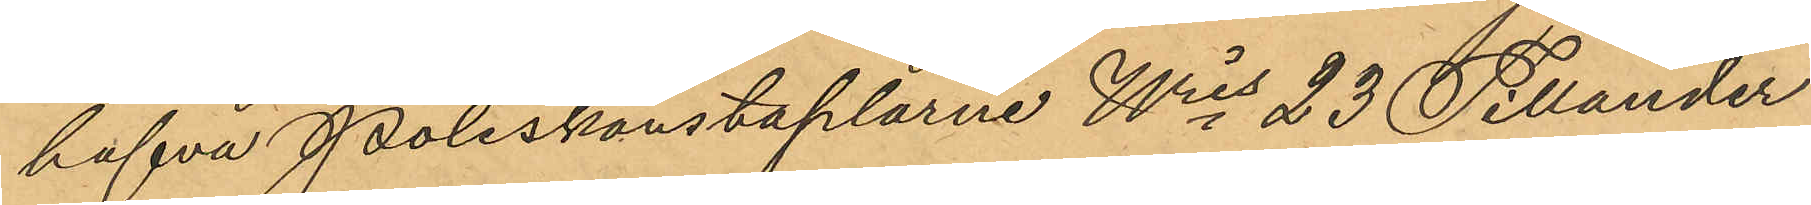hafva Poliskonstaplarne Wris 23 Tillander
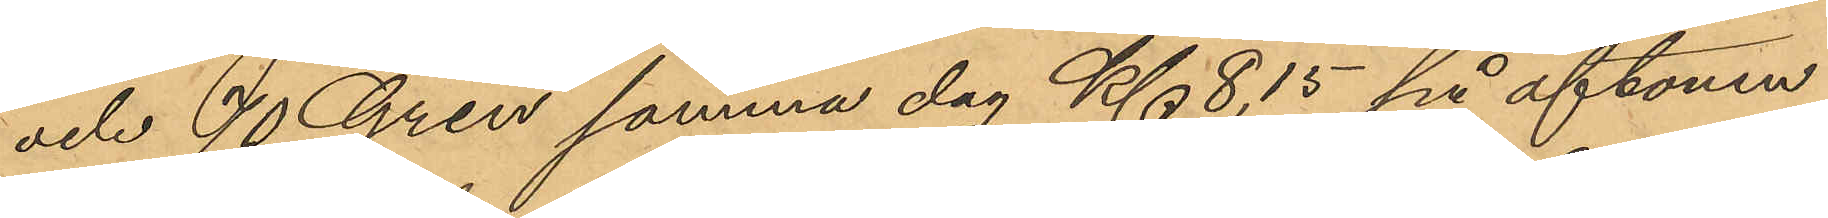och 70 Gren samma dag Kl. 8,15 på aftonen
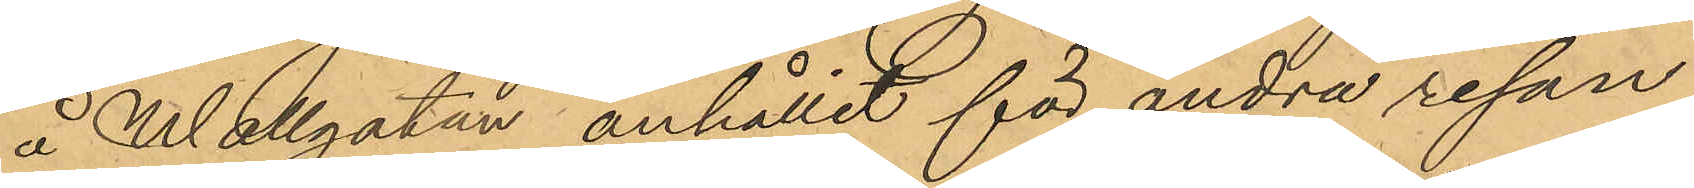å Wallgatan anhållit för andra resan
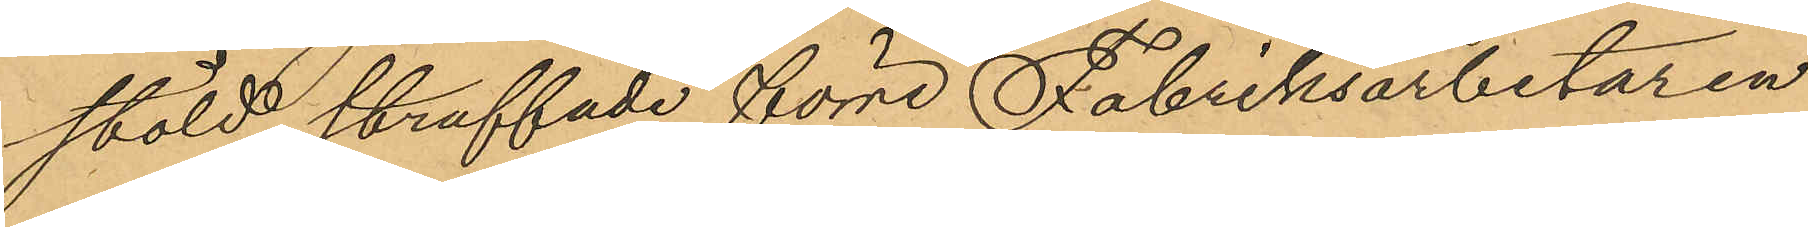stöld straffade förre Fabriksarbetaren
